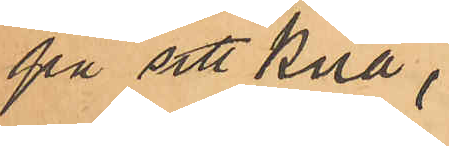på sitt knä,
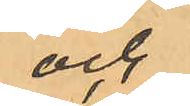och
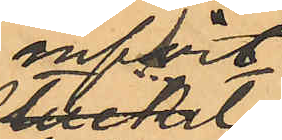infört
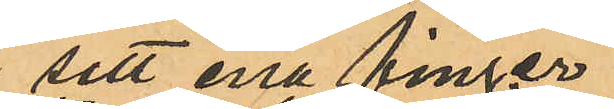sitt ena finger i
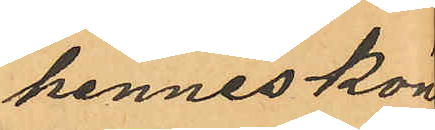hennes köns¬
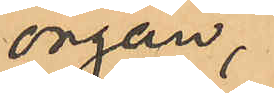organ,
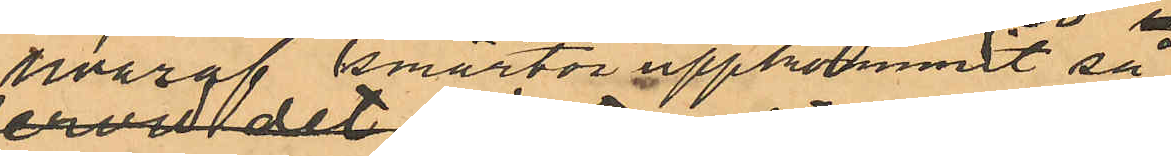hvaraf smärtor uppkommit så
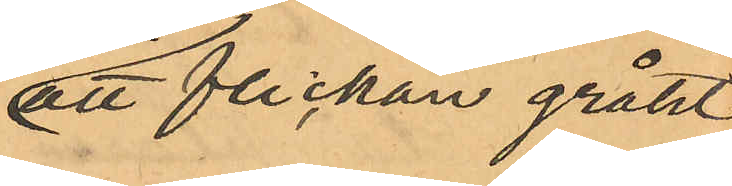att flickan gråtit.
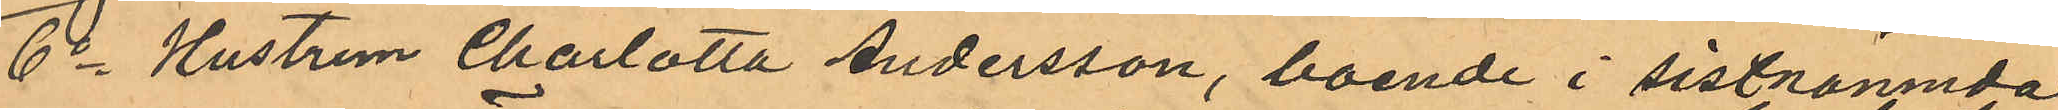6o Hustrun Charlotta Andersson, boende i sistnämnda
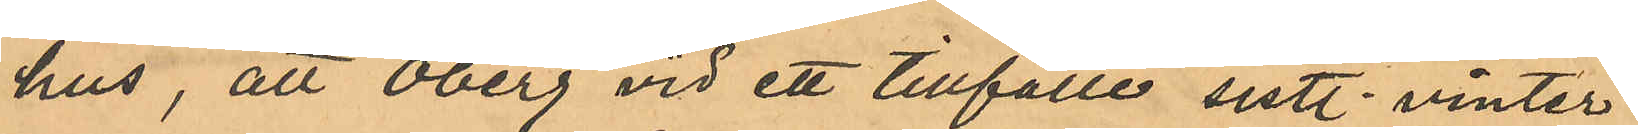hus, att Öberg vid ett tillfälle sistl. vinter
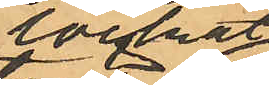lockat
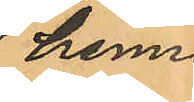hennes
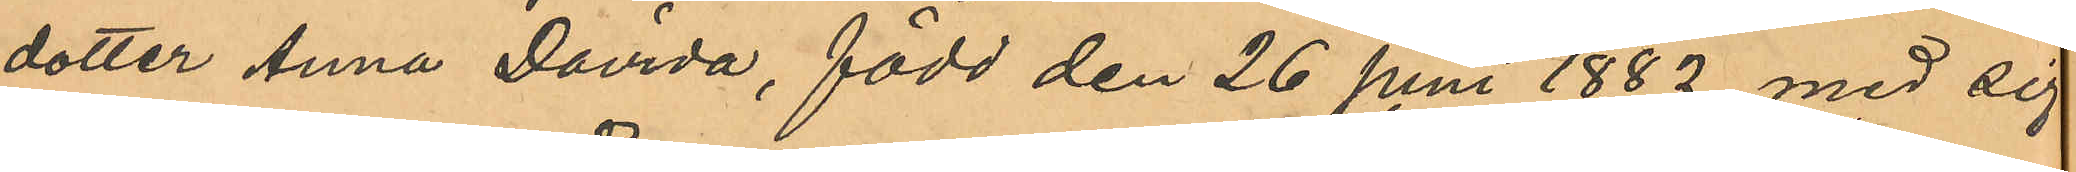dotter Anna Davida, född den 26 juni 1882 med sig
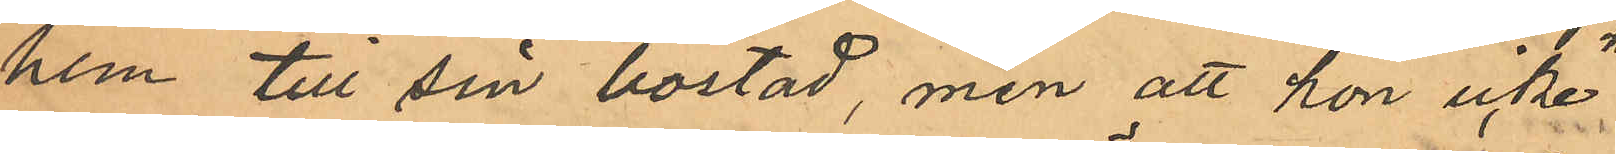hem till sin bostad, men att hon icke
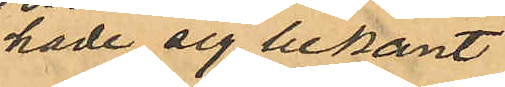hade sig bekant
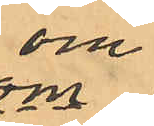om
